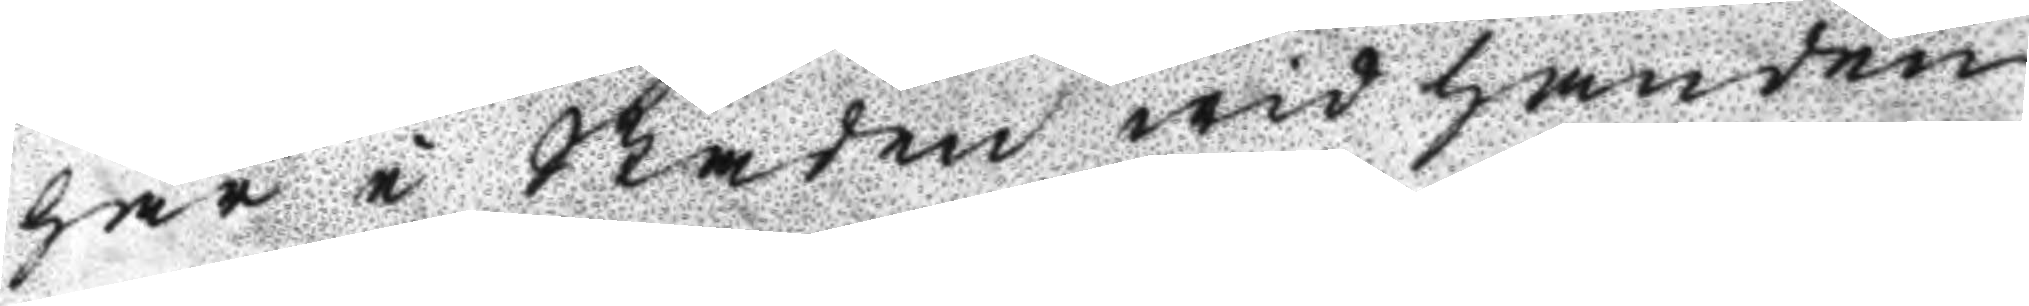här i Staden wid handen
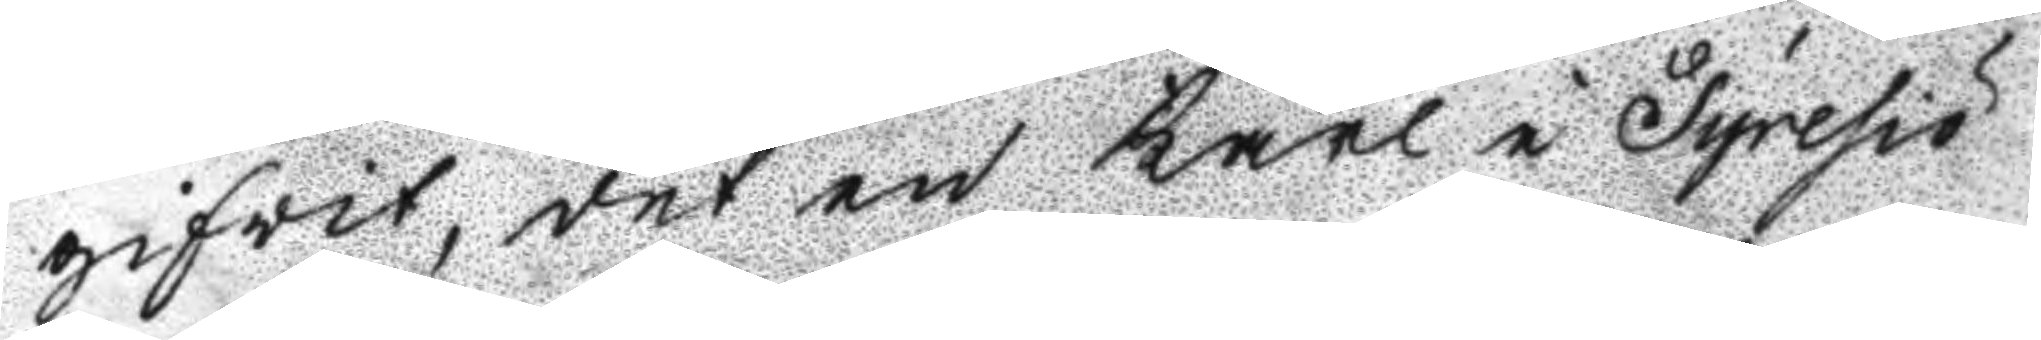gifwit, det en Karl i Tyresiö
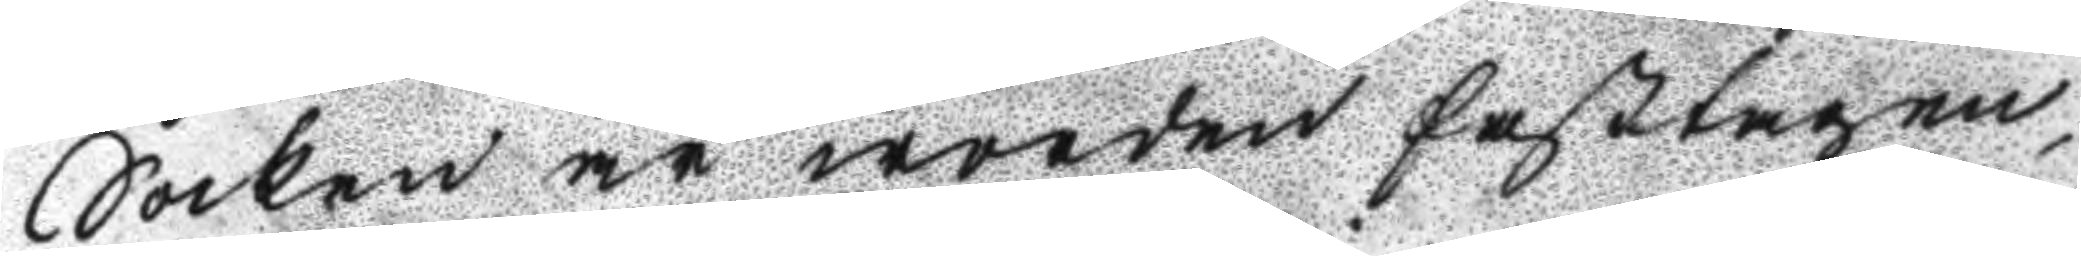Socken är worden fasttagen,
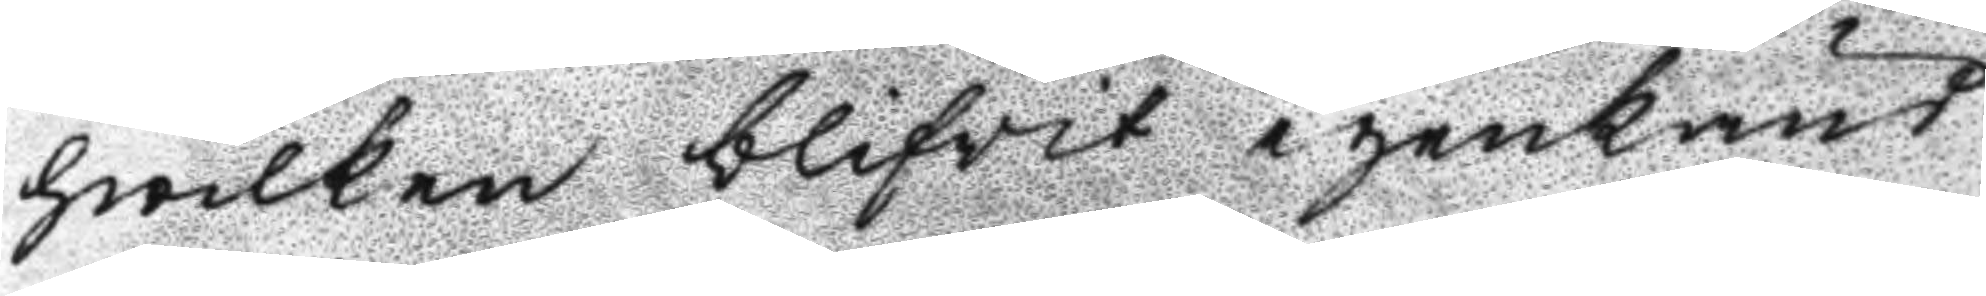hwilken blifwit igenkänd
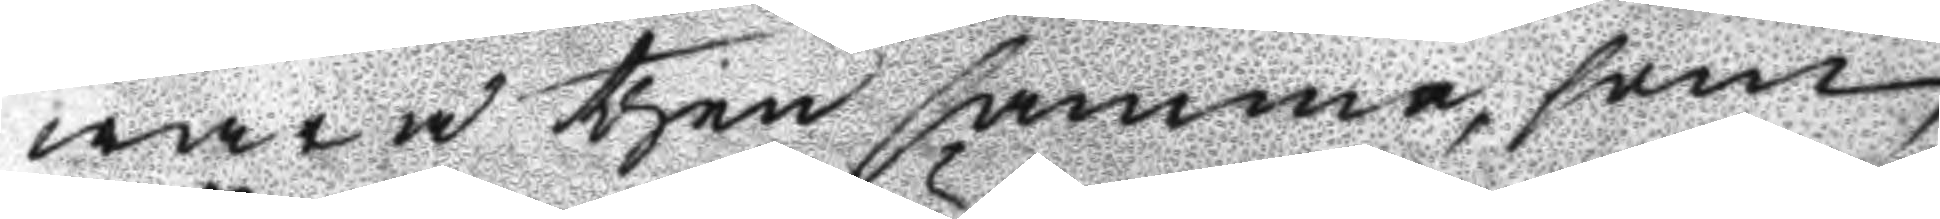wara then samma, som
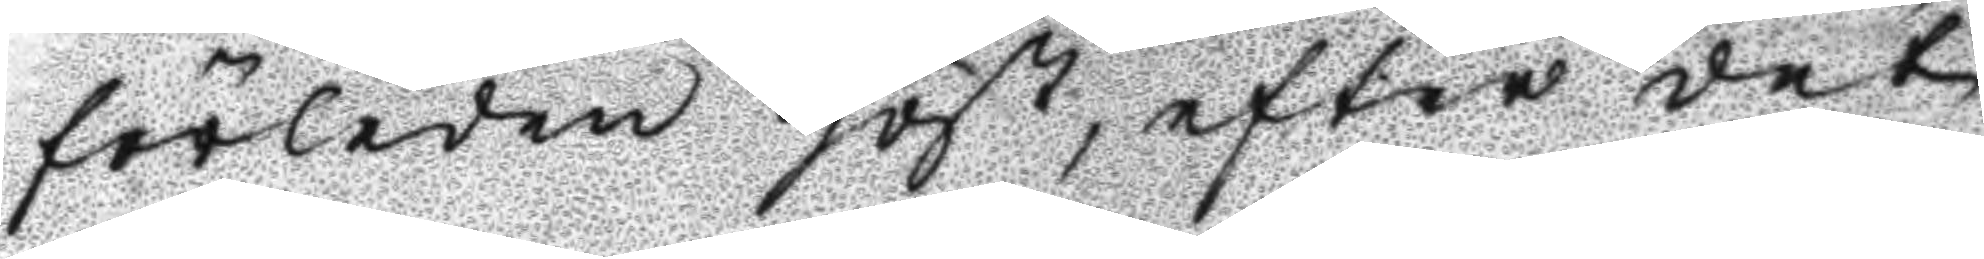förleden höst, efter det
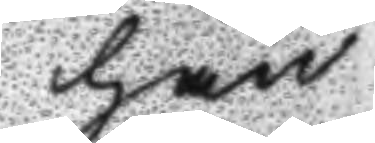han
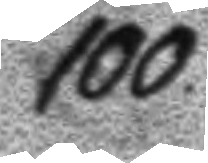100
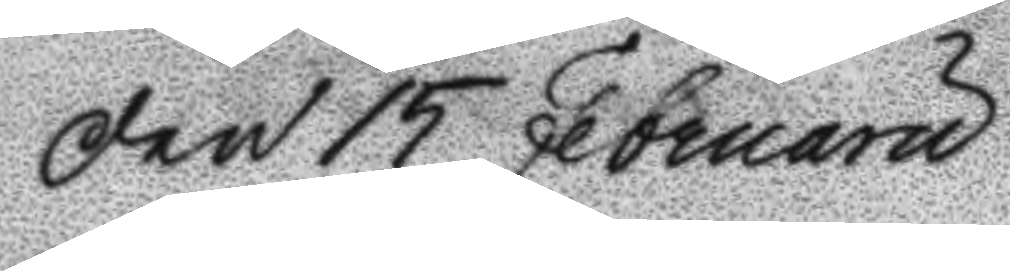Den 15 Februaru
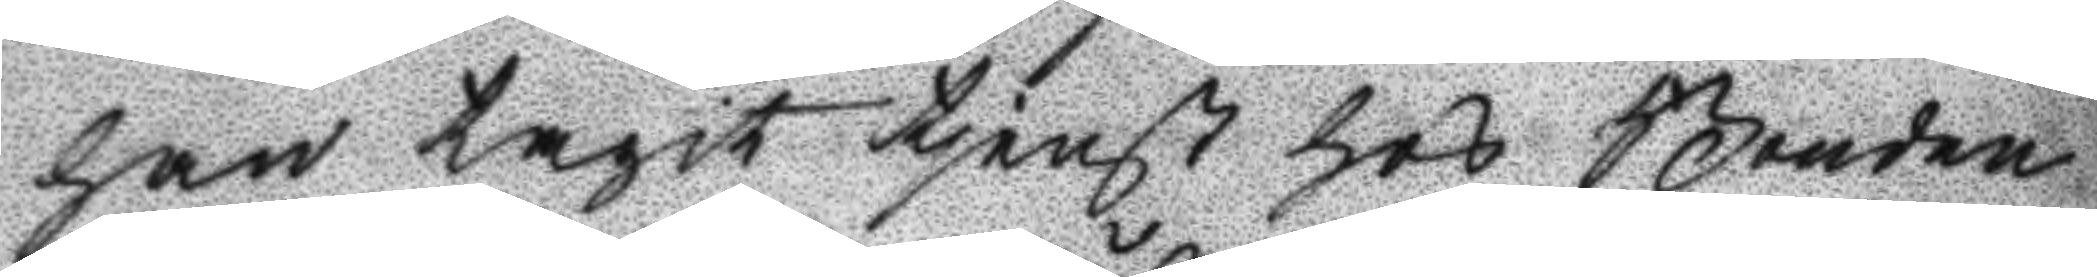han tagit tjenst hos Bonden
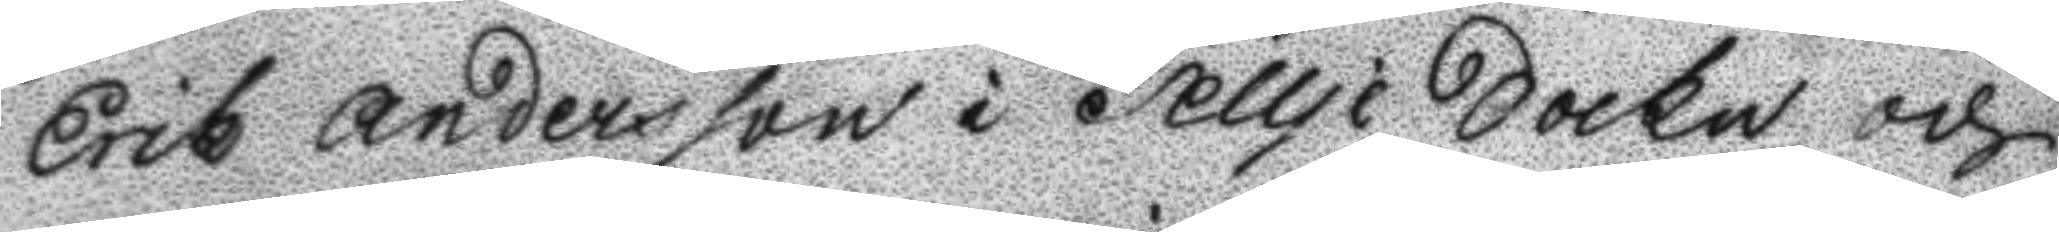Erik Andersson i Tellje Sockn, och
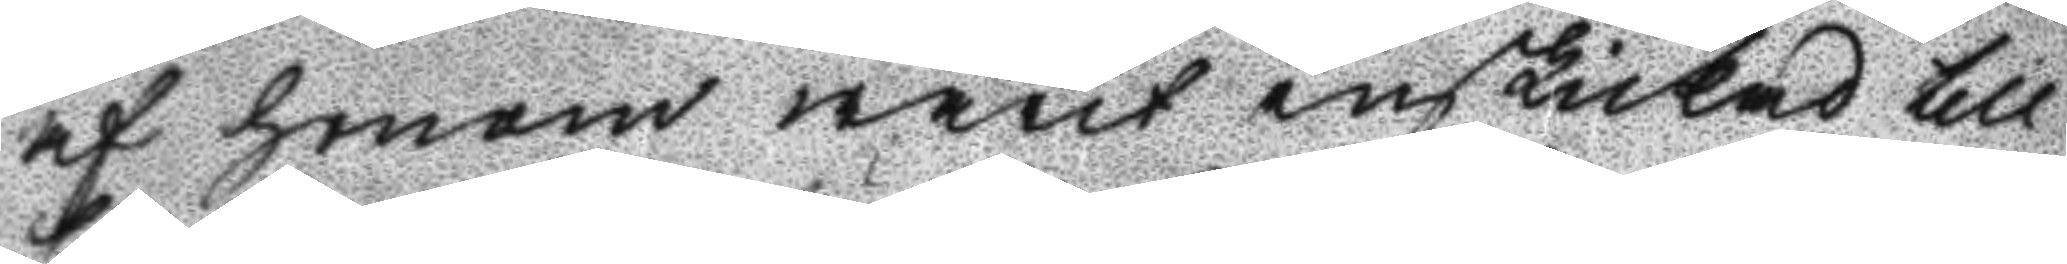af honom warit inskickad till
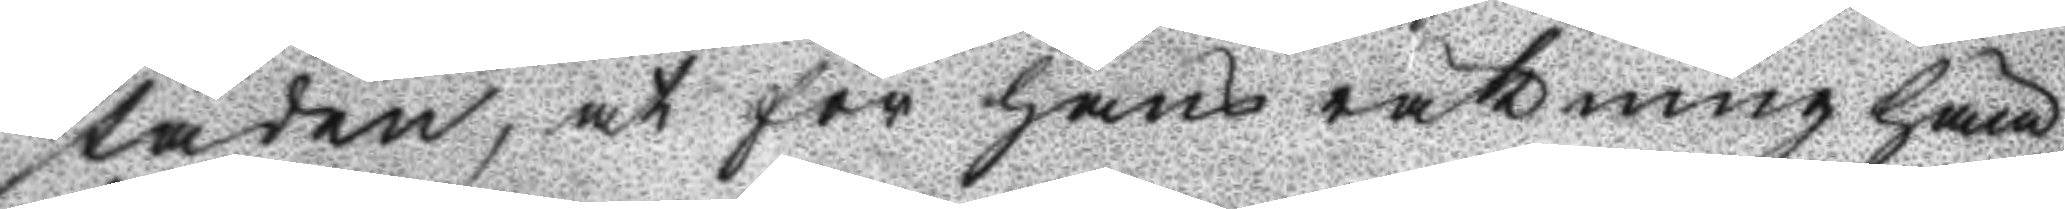Staden, at för hans räkning häm¬
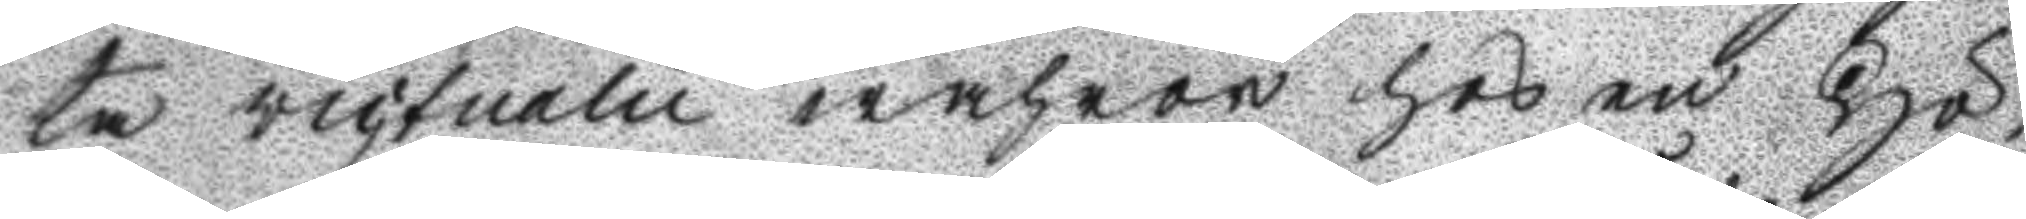ta victualie wahror hos en Hö¬
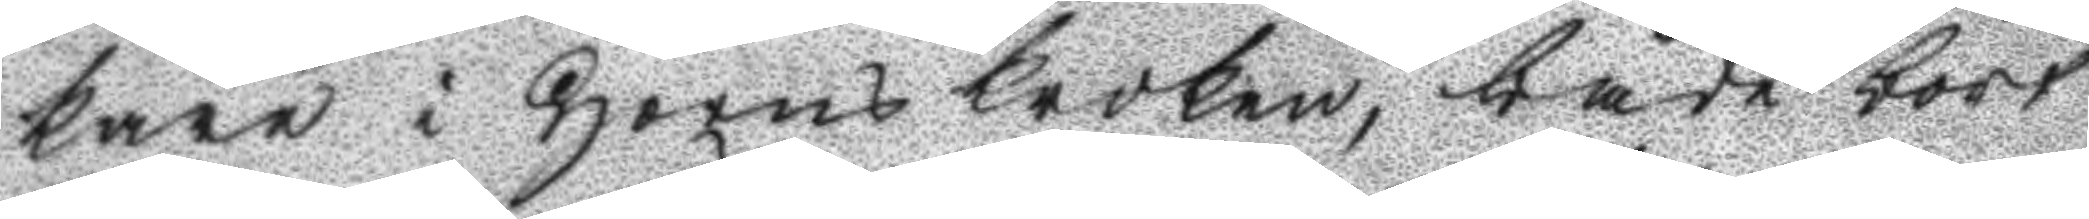kare i Horns kroken, både bort
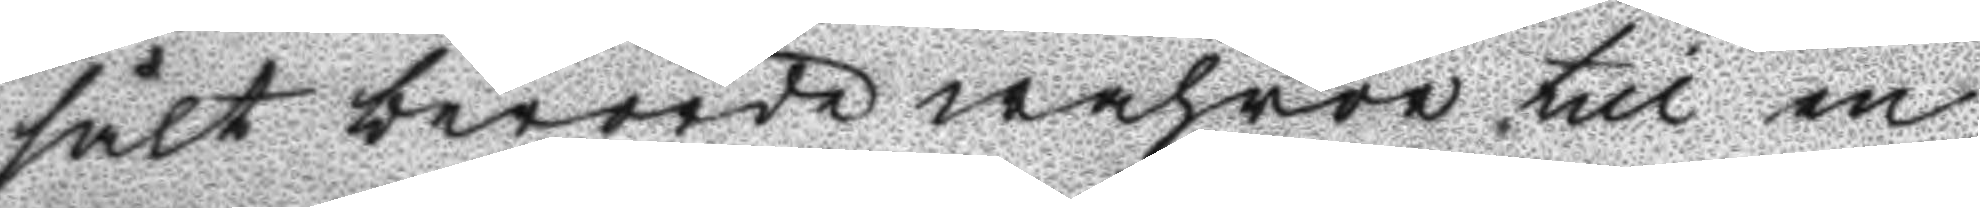sålt berörde wahroro till en
